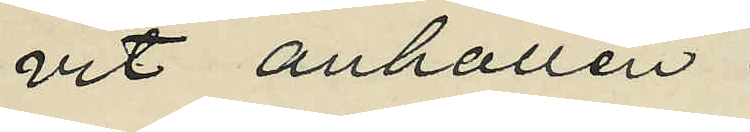vit anhållen.
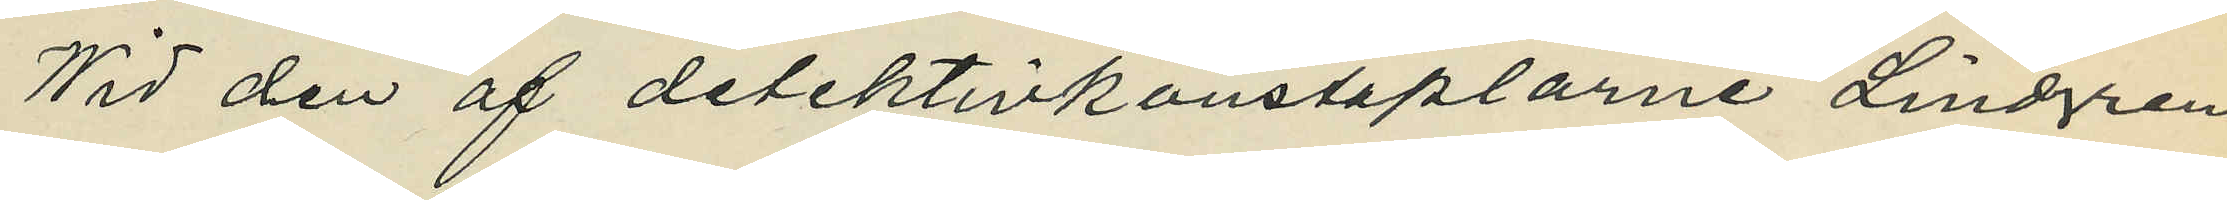Wid den af detektivkonstaplarne Lindgren
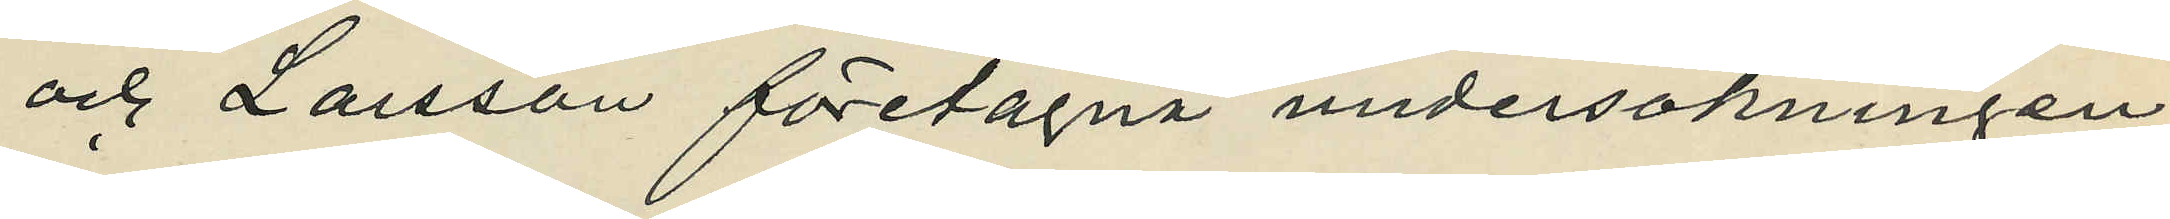och Larsson företagna undersökningen
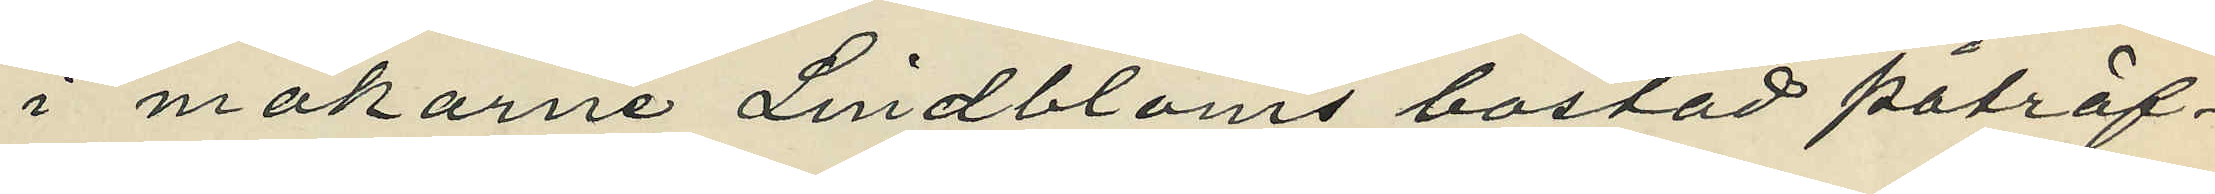i makarne Lindbloms bostad påträf¬
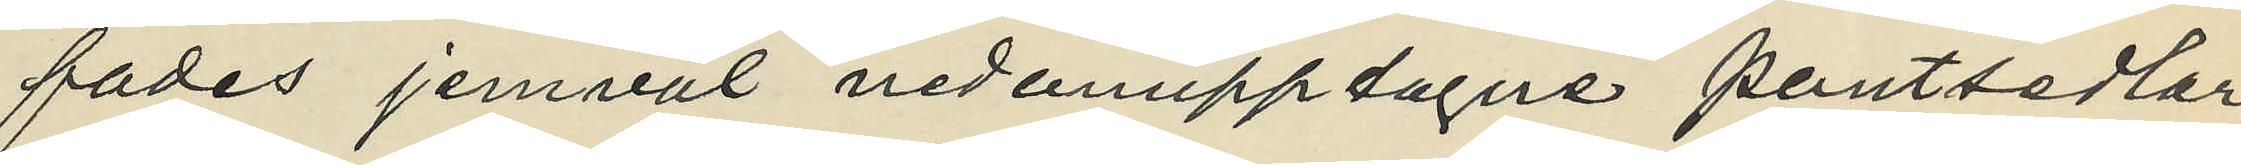fades jemväl nedanupptagne pantsedlar,
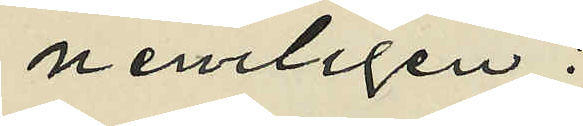nemligen:
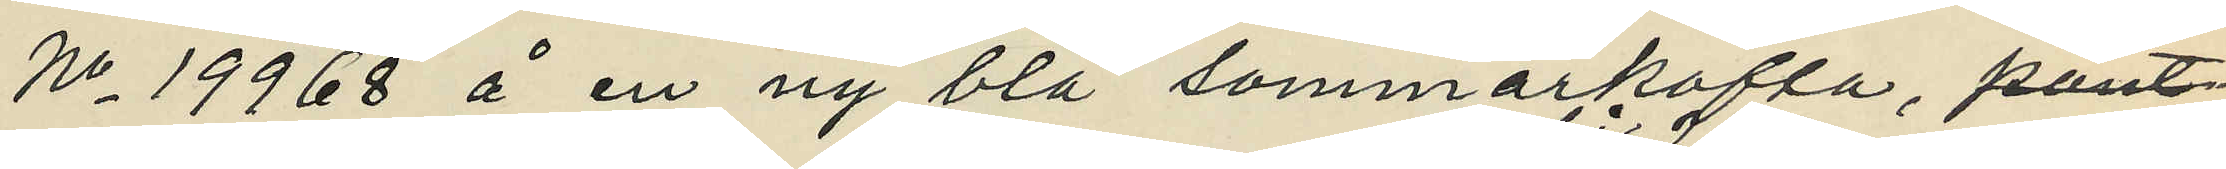No 19968 å en ny blå sommarkofta, pant¬
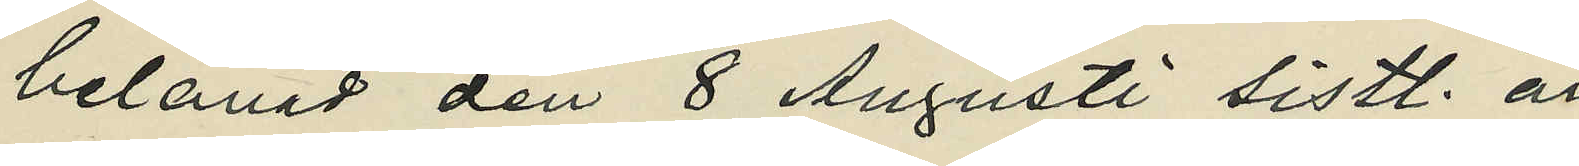belånad den 8 Augusti sistl. år
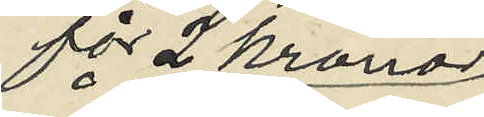för 2 kronor
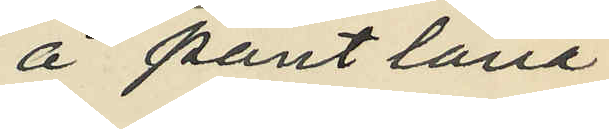å pantlåna¬
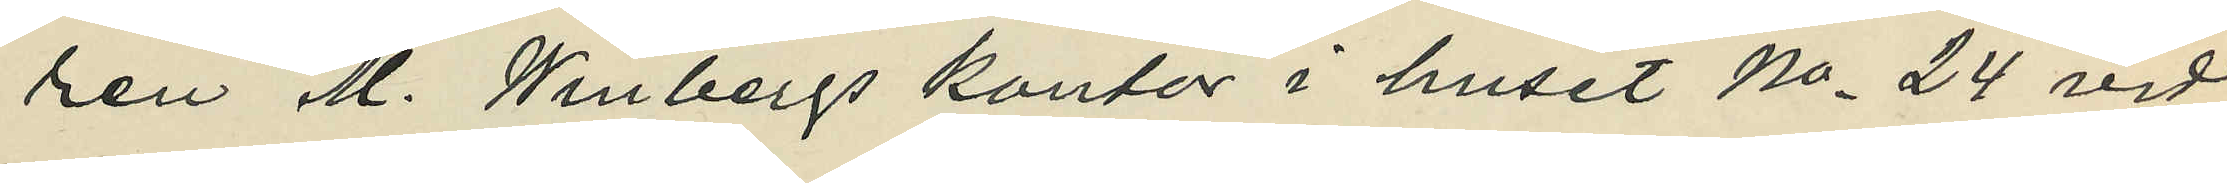ren M. Winbergs kontor i huset No 24 vid
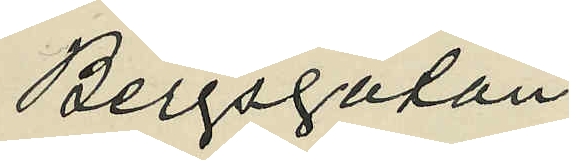Bergsgatan,
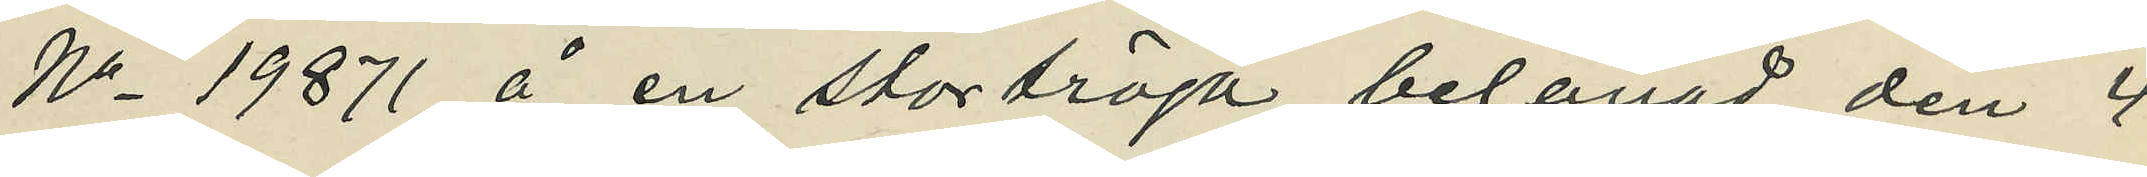No 19871 å en stortröja belånad den 4
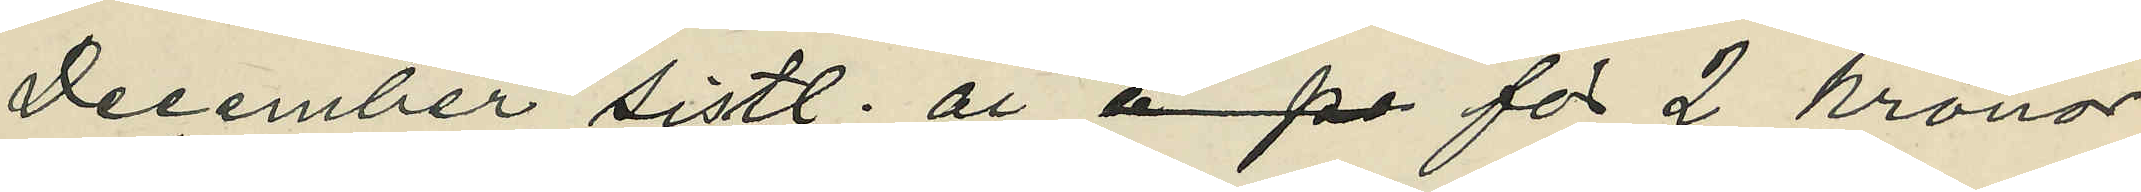December sistl. år för 2 kronor
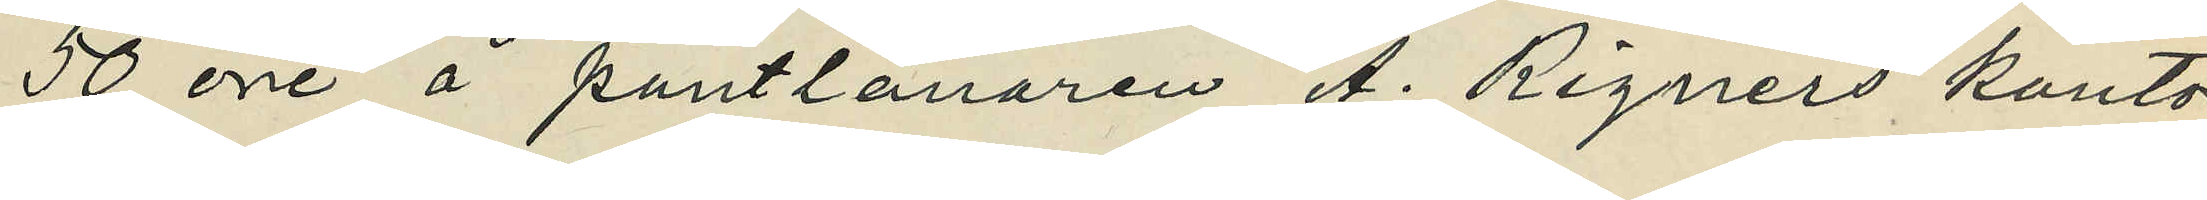50 öre å pantlånaren A. Rignérs kontor
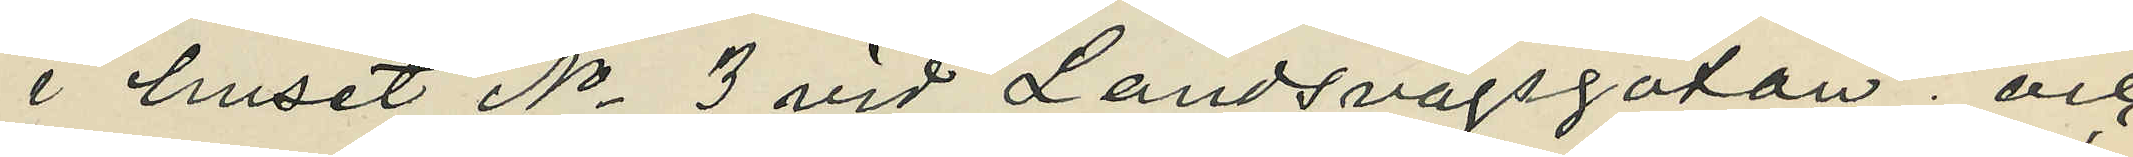i huset No 3 vid Landsvägsgatan; och
